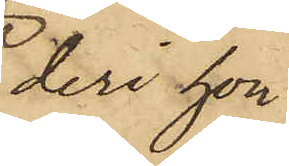deri hon
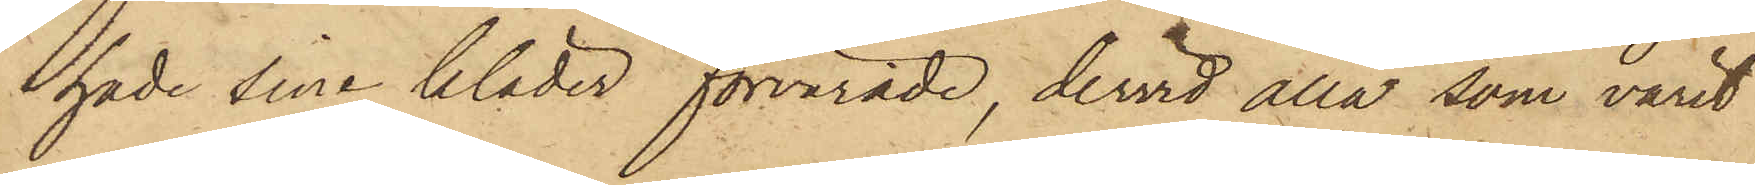hade sina kläder förvarade, dervid alla som varit
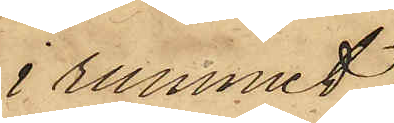i rummet,
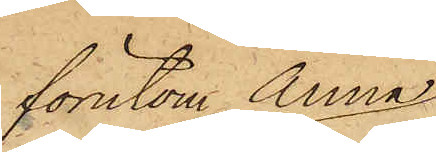förutom Anna
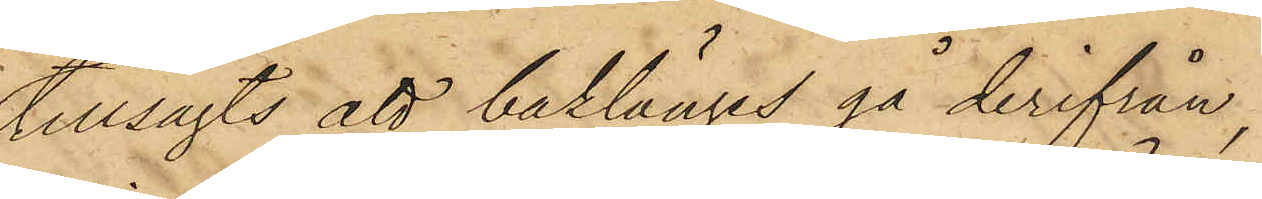tillsagts att baklänges gå derifrån,
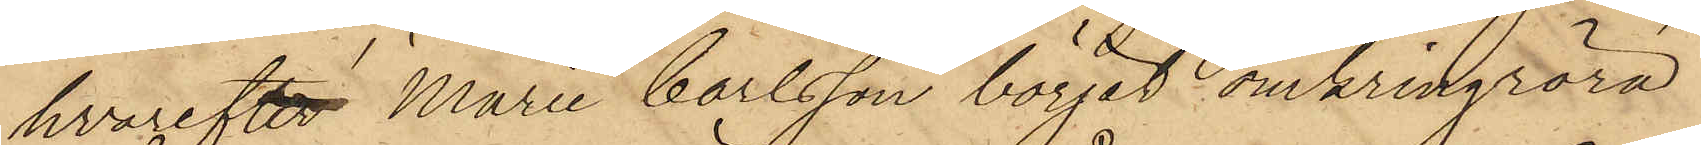hvarefter Marie Carlsson börjat omkringröra
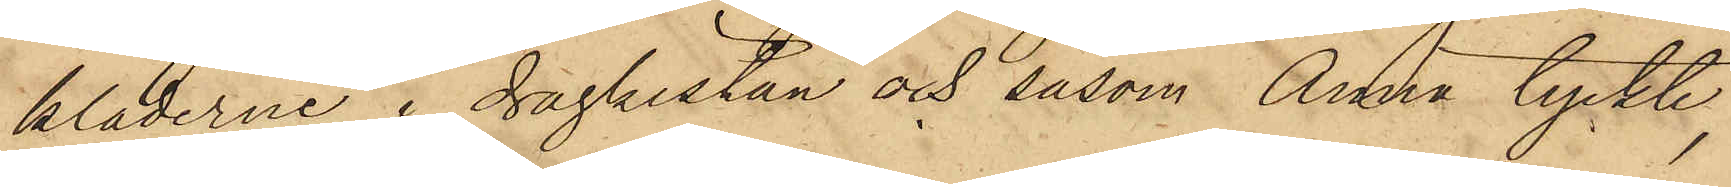kläderna i dragkistan och såsom Anna tyckte,
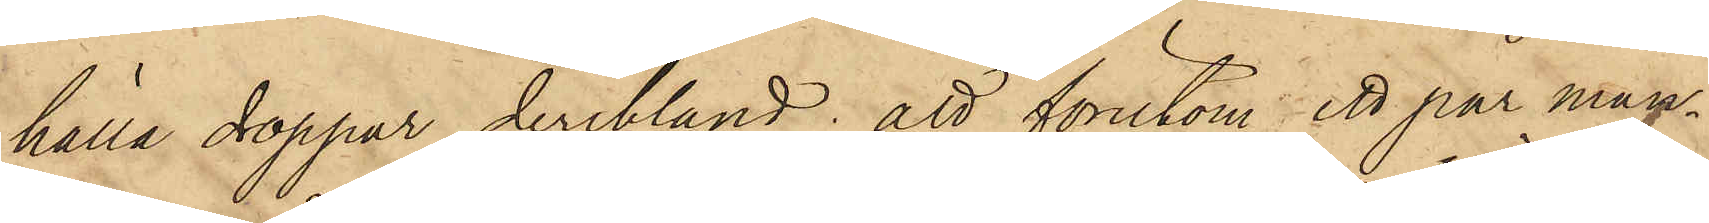hälla droppar deribland; att förutom ett par man¬
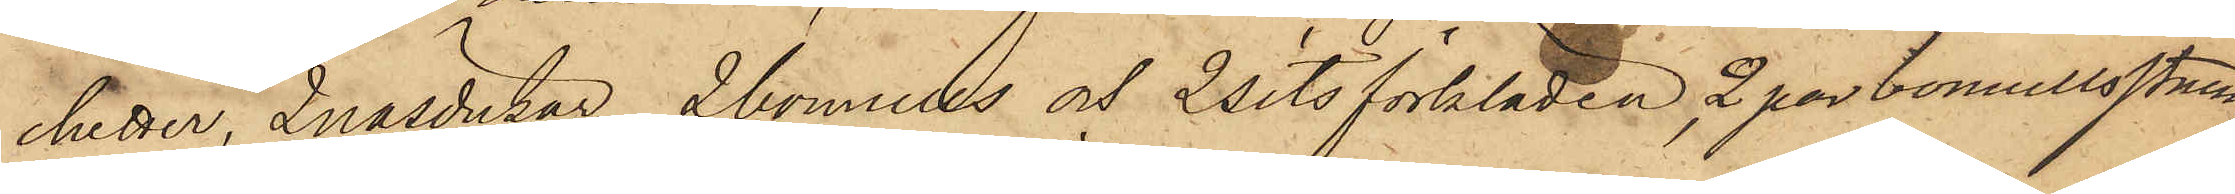chetter,  2 näsdukar, 2 bomulls och 2 sits förkläden ,2 par bomullstrumpor
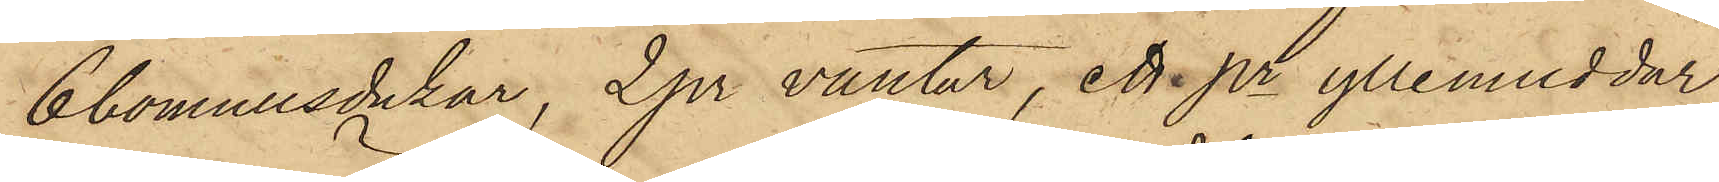6 bomullsdukar, 2 pr vantar, ett pr yllemuddar,
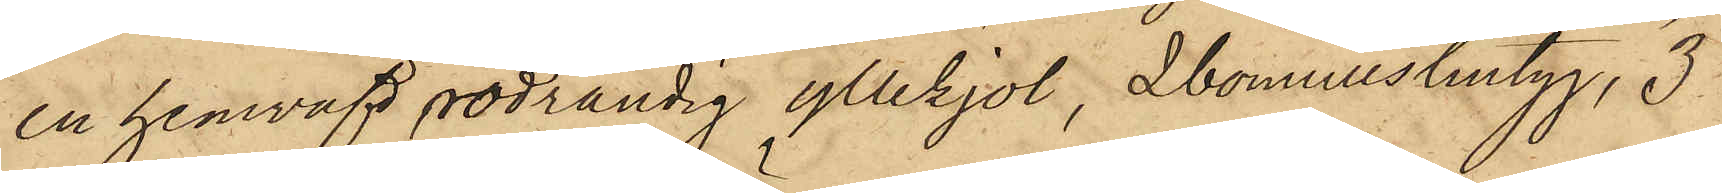en hemväfd rödrandig yllekjol, 2 bomullslintyg, 3
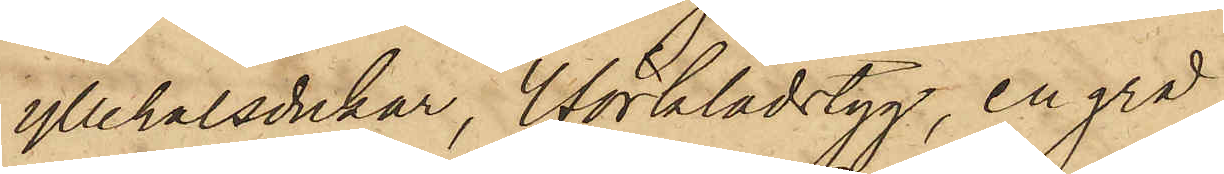yllehalsdukar, 4 förklädstyg, en grå
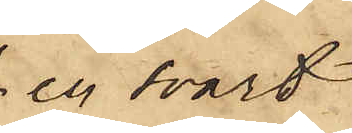en svart
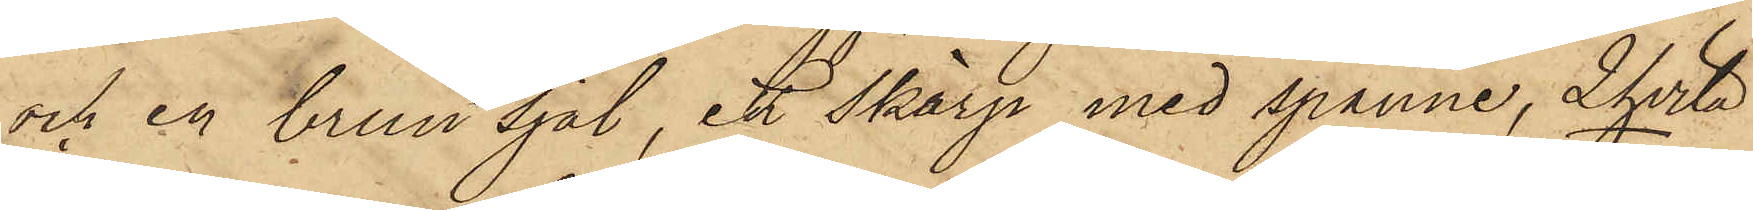och en brun sjal, ett Skärp med spänne, 2 hvita
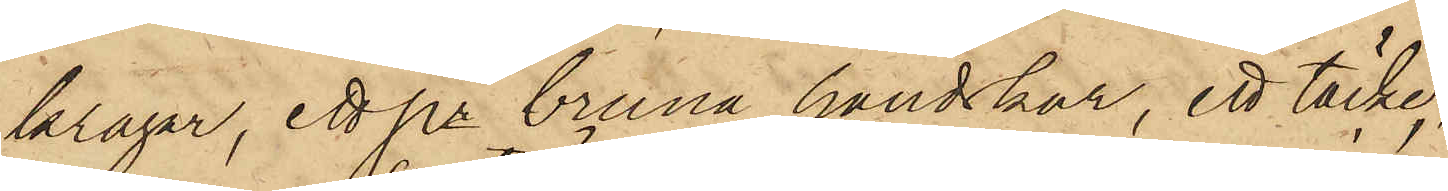kragar, ett pr bruna handskar, ett täcke,
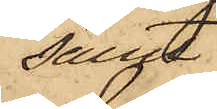samt
